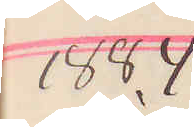1884
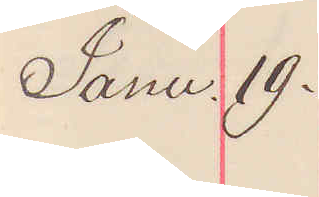Janu 19.
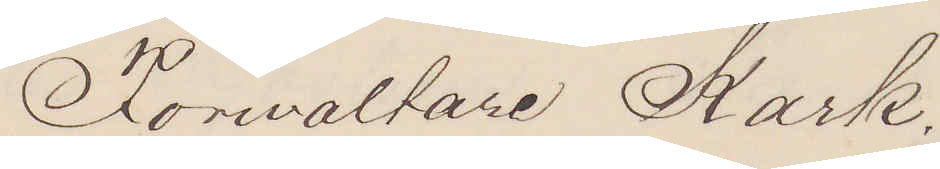Förvaltare Kark.
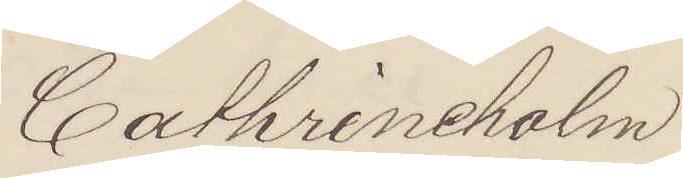Cathrineholm
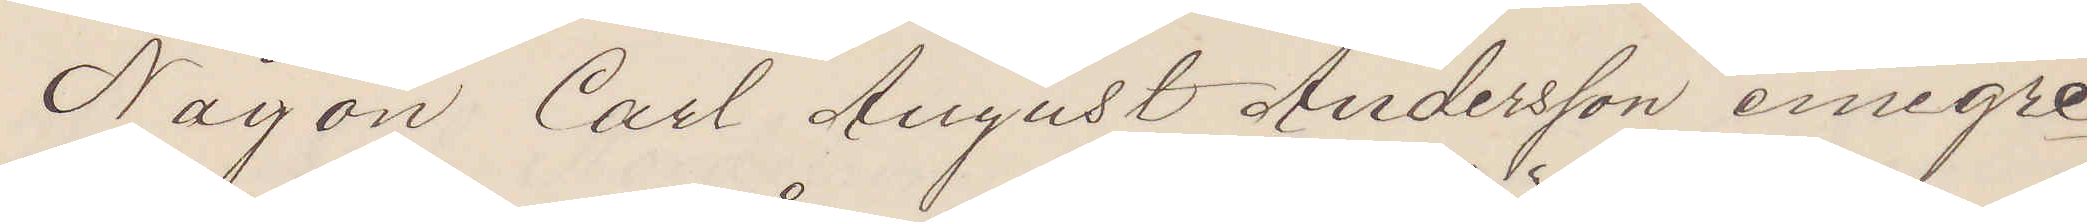Någon Carl August Andersson emigre¬
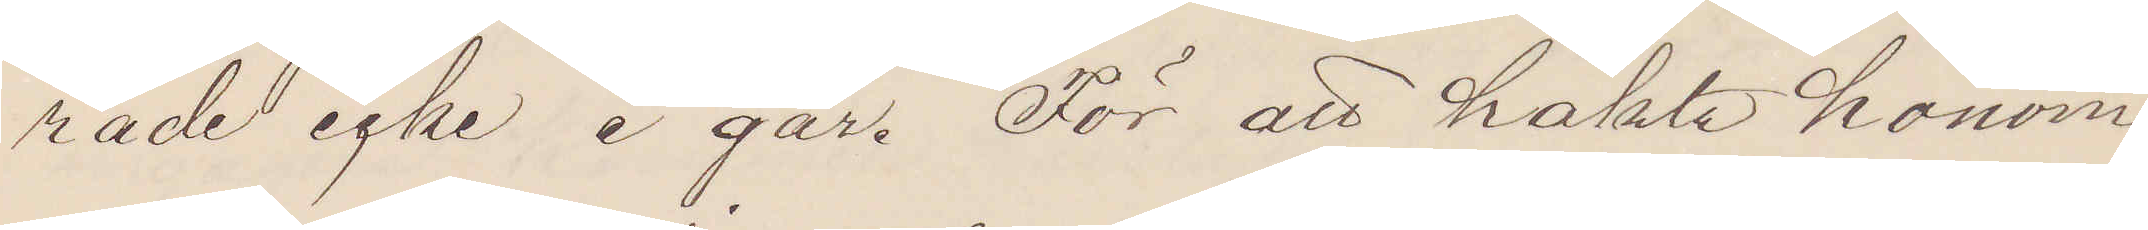rade icke i går. För att häkta honom
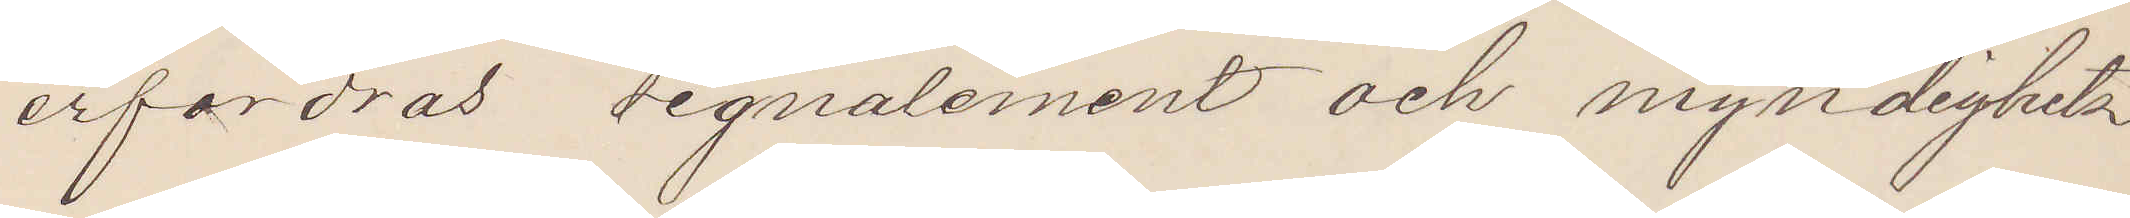erfordras signalement och myndighets¬
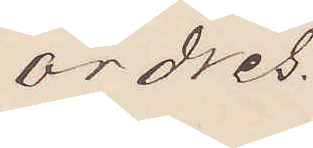ordres.
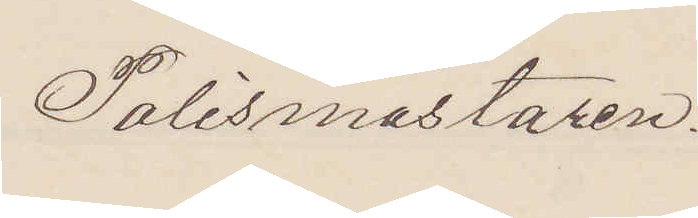Polismästaren.
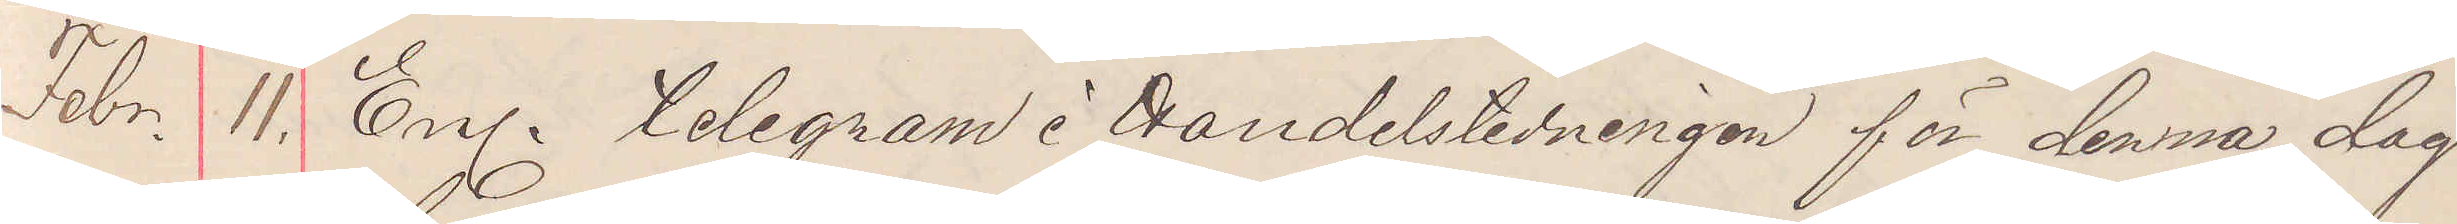Febr. 11. Enl. telegram i handelstidningen för denna dag
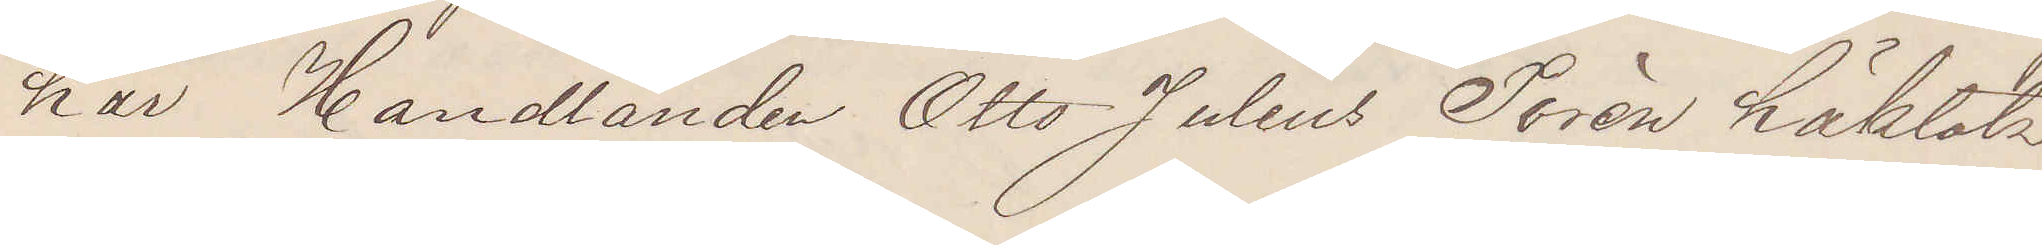har Handlanden Otto Julius Torén häktats
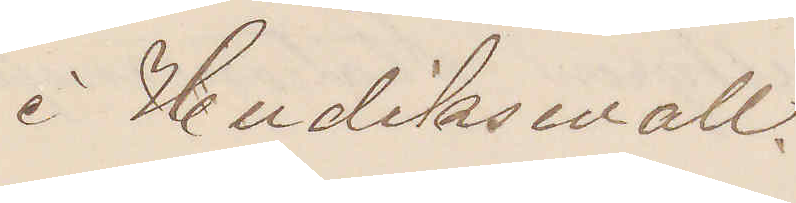i Hudiksvall.
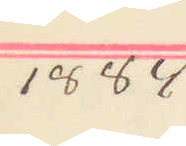1884
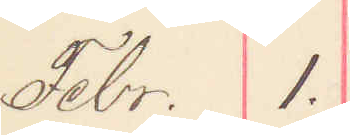Febr. 1.
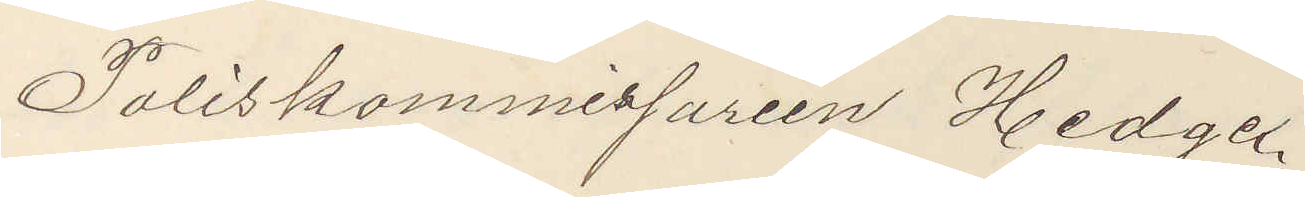Poliskommissarien Hedge.
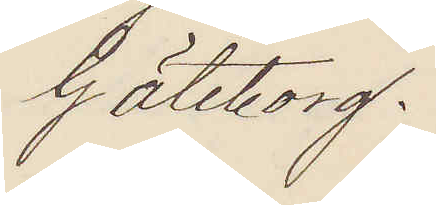Göteborg.
